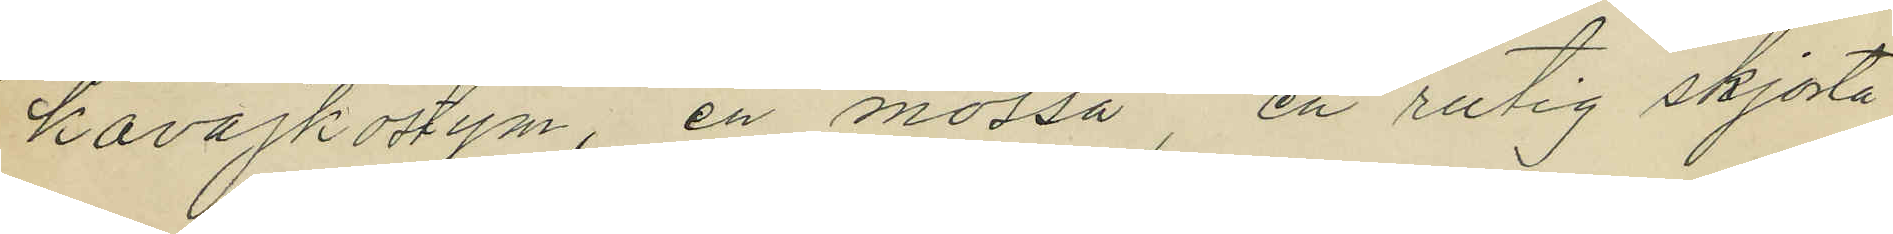kavajkostym, en mössa, en rutig skjorta
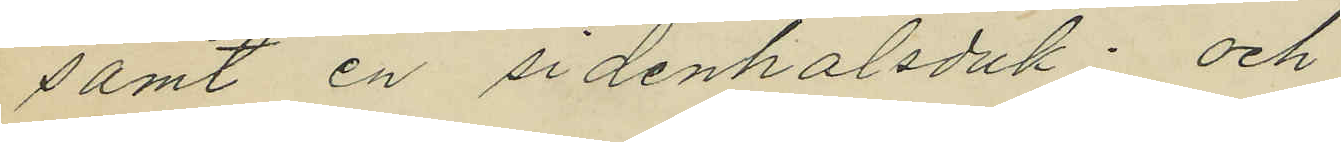samt en sidenhalsduk; och
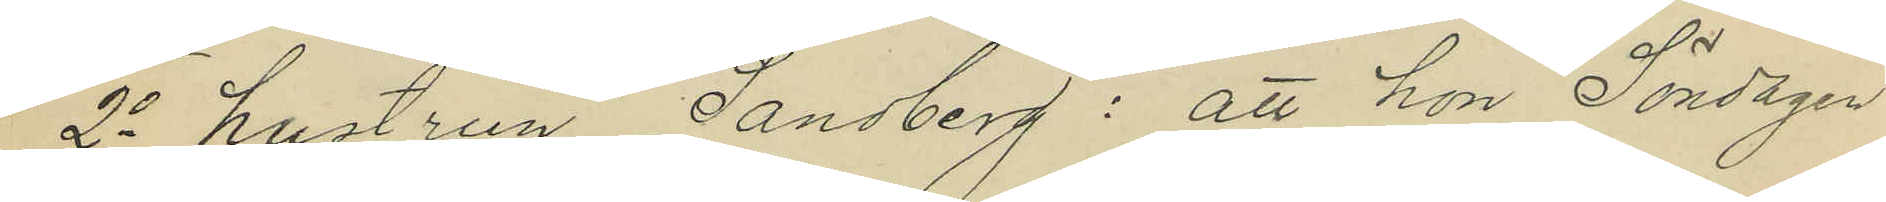2o hustrun Sandberg: att hon Söndagen
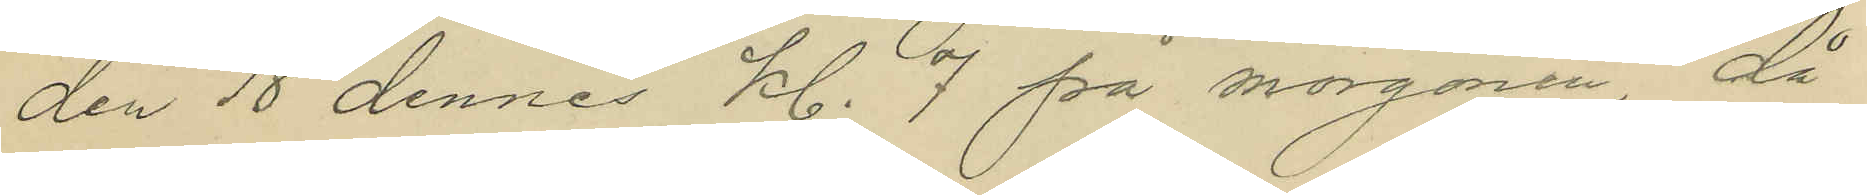den 18 dennes kl. 7 på morgonen, då
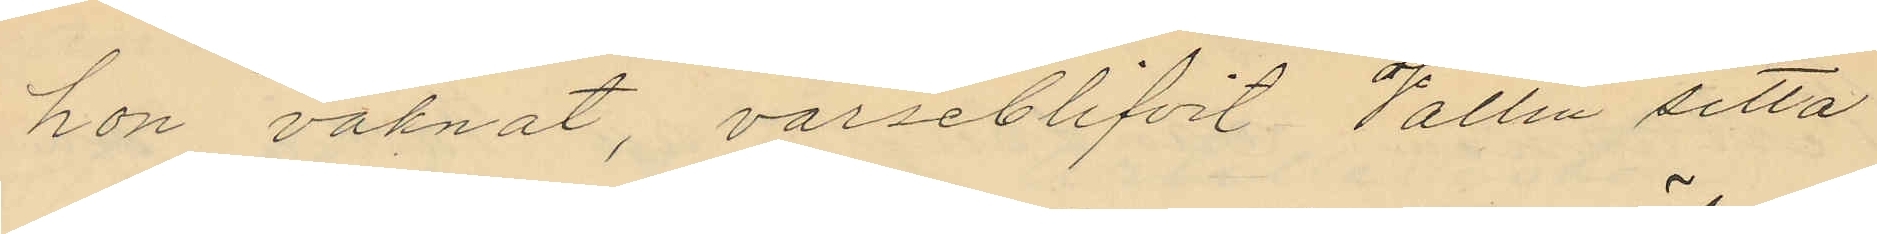hon vaknat, varseblifvit Vallin sitta
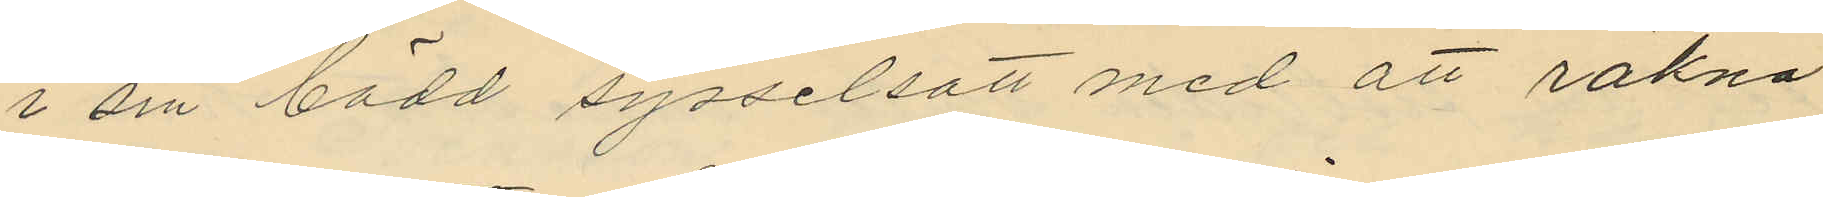i sin bädd sysselsatt med att räkna
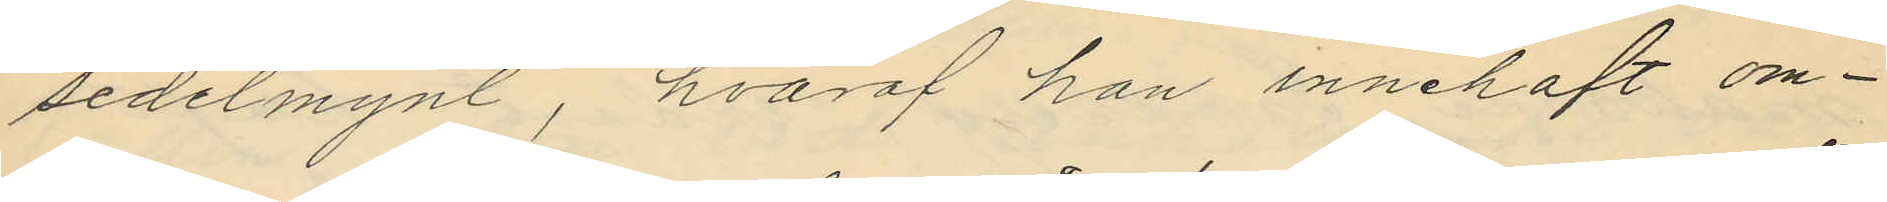sedelmynt, hvaraf han innehaft om¬
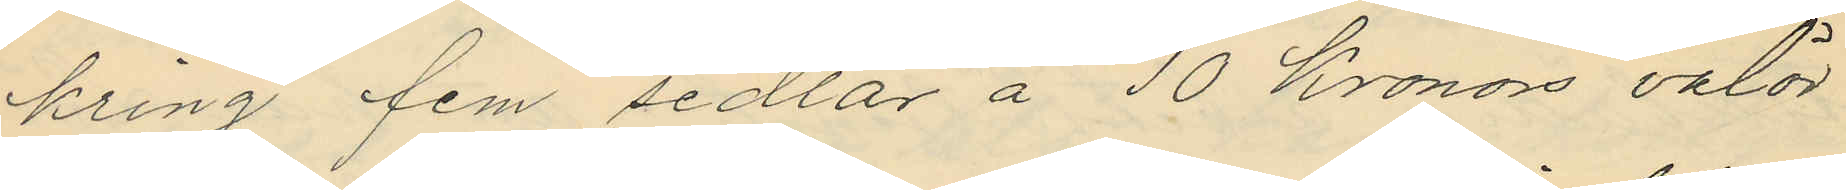kring fem sedlar å 10 Kronors valör
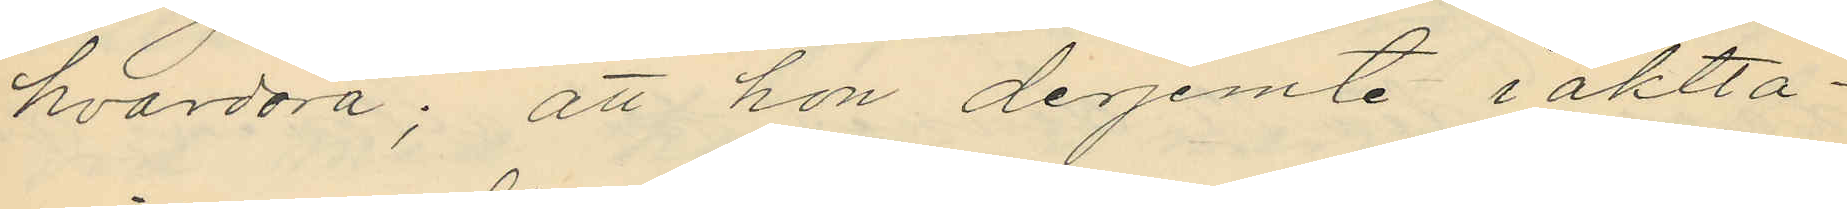hvardera; att hon derjemte iaktta¬
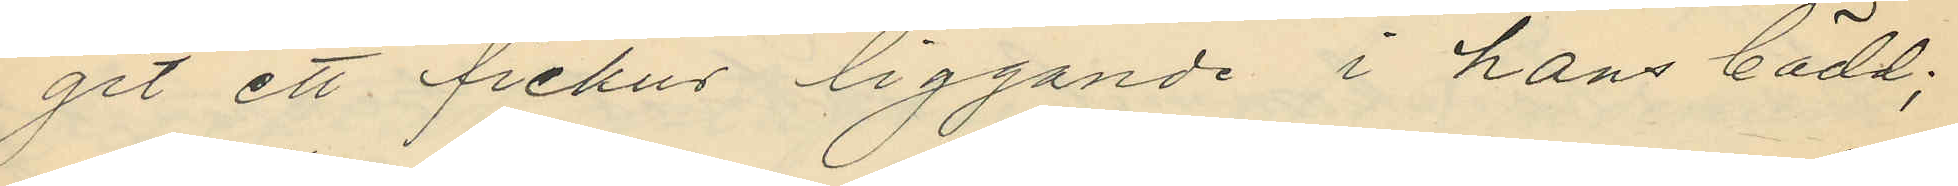git ett fickur liggande i hans bädd;
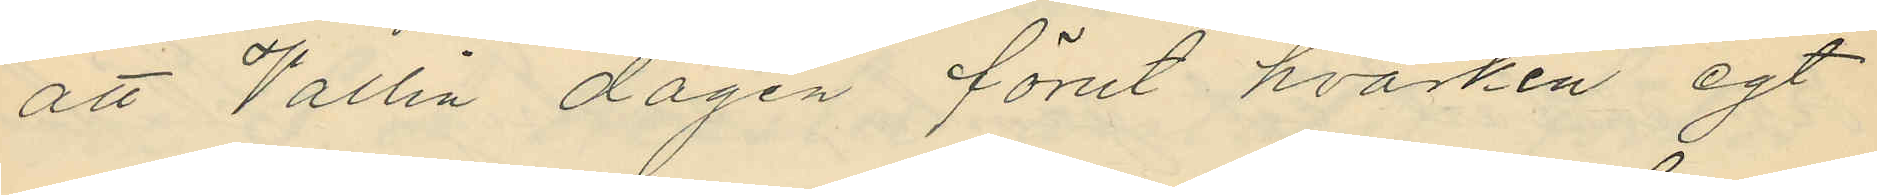att Wallin dagen förut hvarken egt
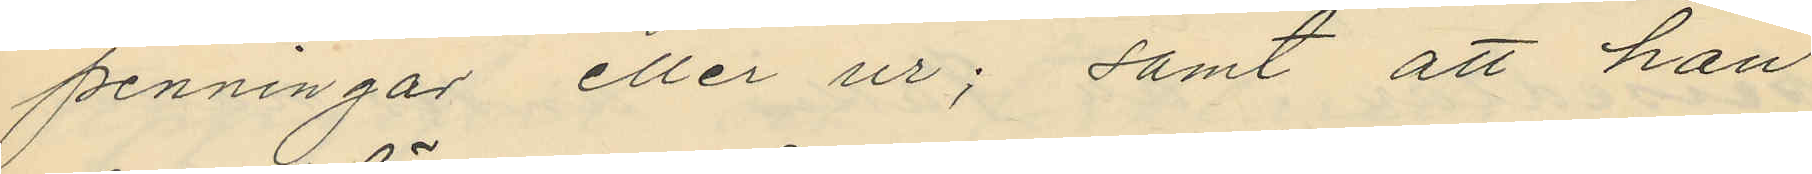penningar eller ur; samt att han
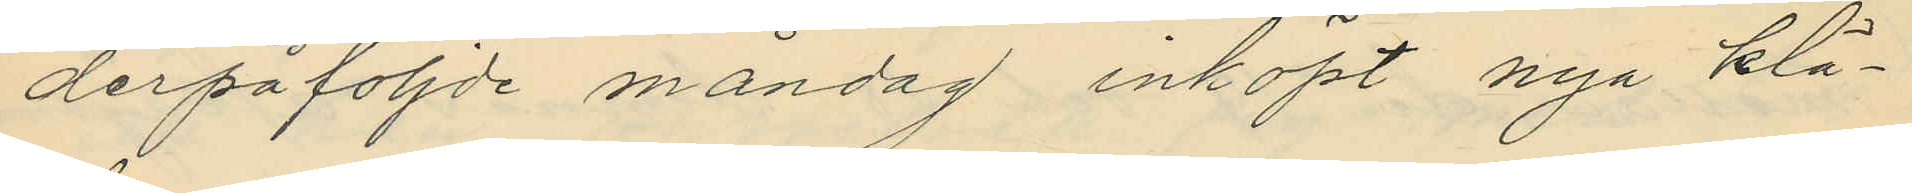derpåföljde måndag inköpt nya klä¬
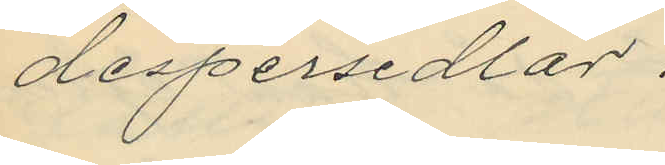despersedlar.
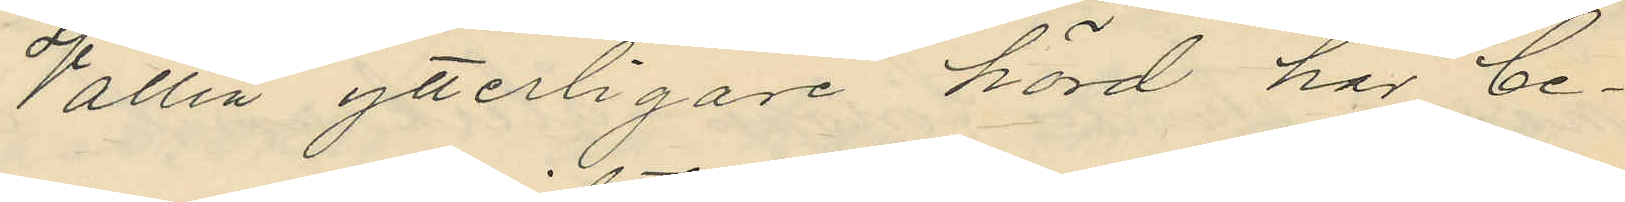Wallin ytterligare hörd har be¬
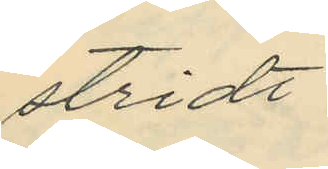stridt
